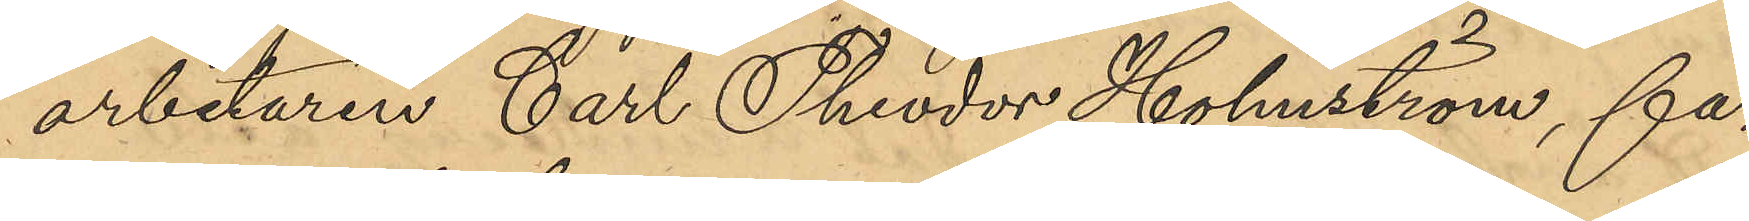arbetaren Carl Theodor Holmström, får
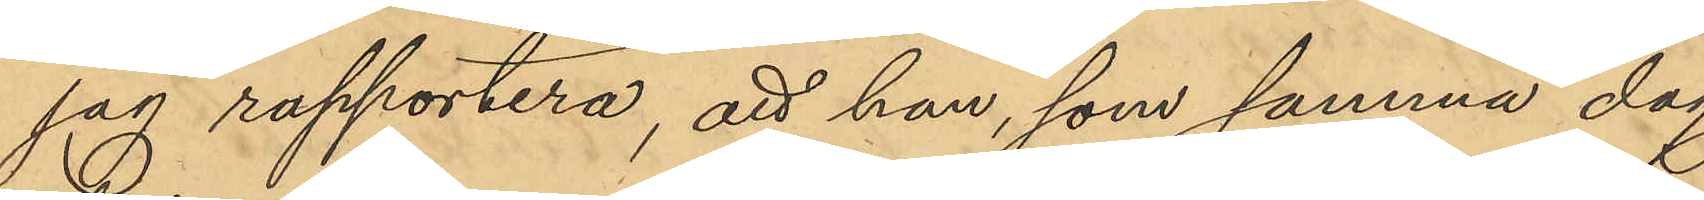jag rapportera, att han, som samma dag
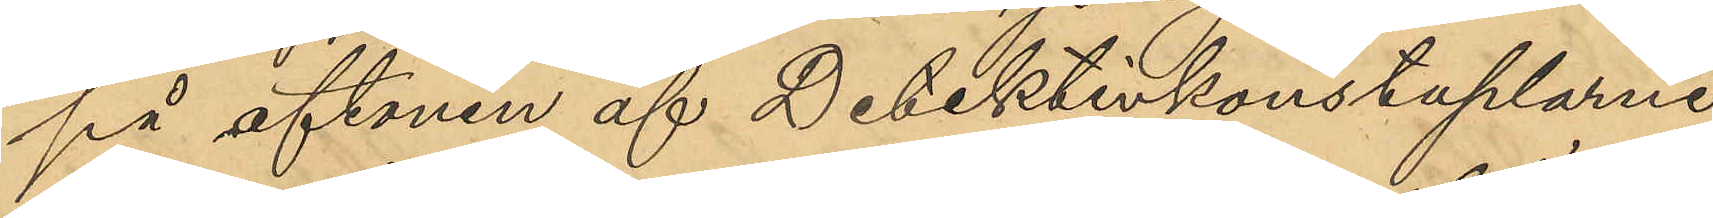på aftonen af Detektivkonstaplarne
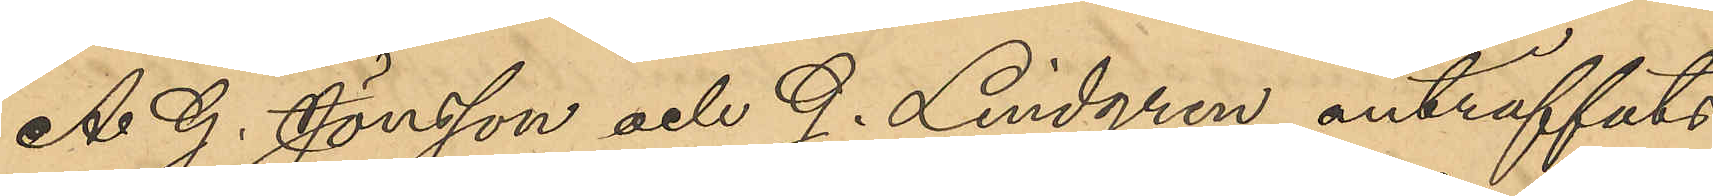A. G. Jönsson och J. Lindgren anträffats
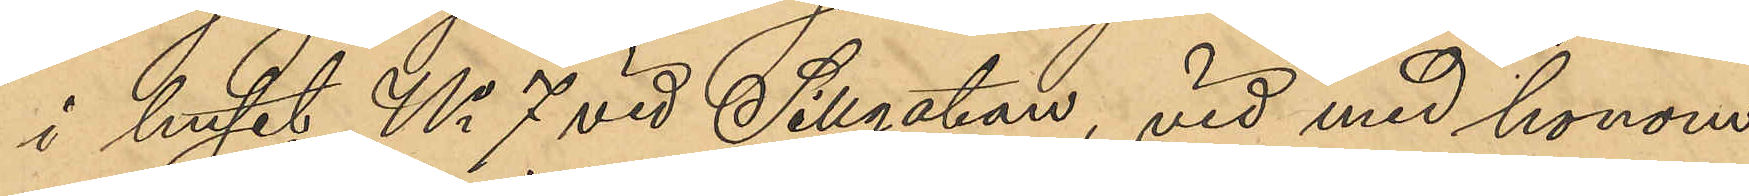i huset No 7 vid Sillgatan, vid med honom
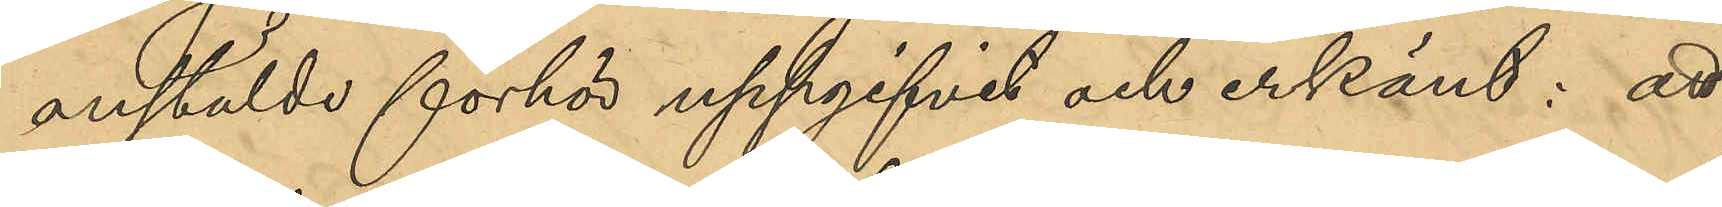anstälde förhör uppgifvit och erkänt: att
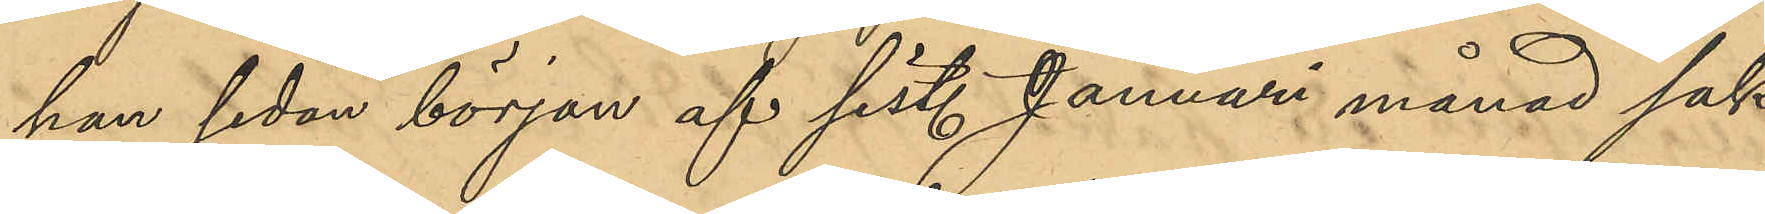han sedan början af sist. Januari månad sak¬
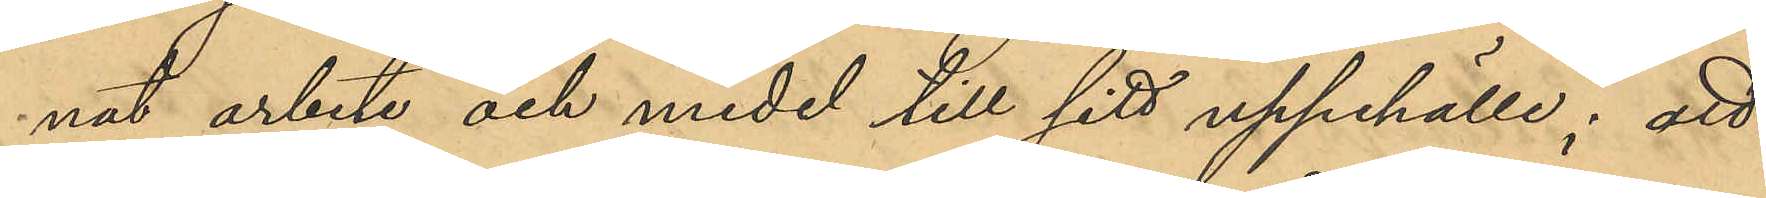nat arbete och medel till sitt uppehälle; att 
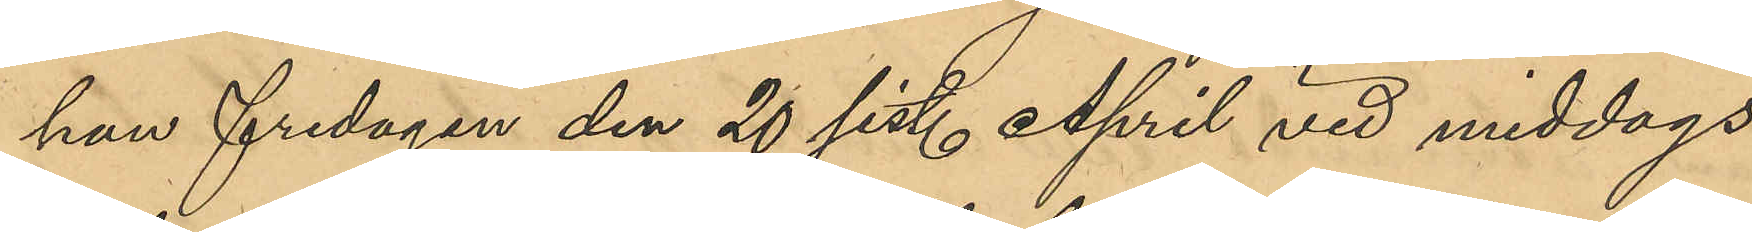han fredagen den 20 sist. April vid middags¬
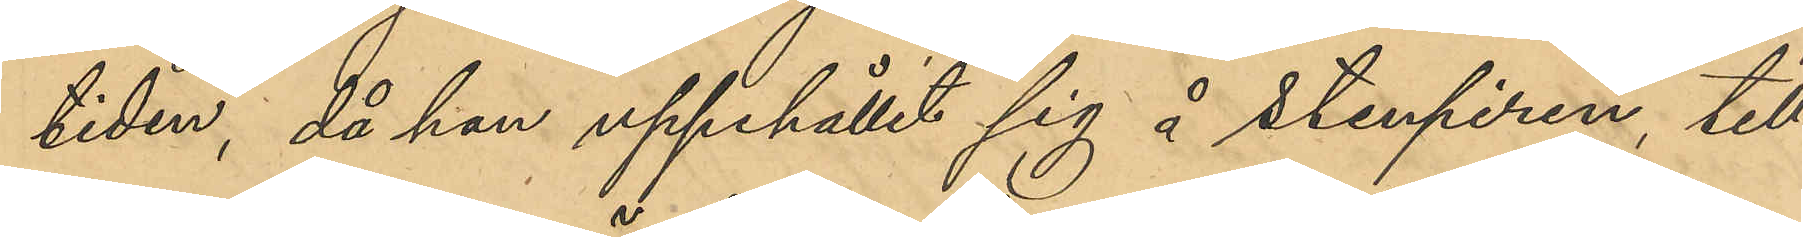tiden, då han uppehållit sig å Stenpiren, till¬
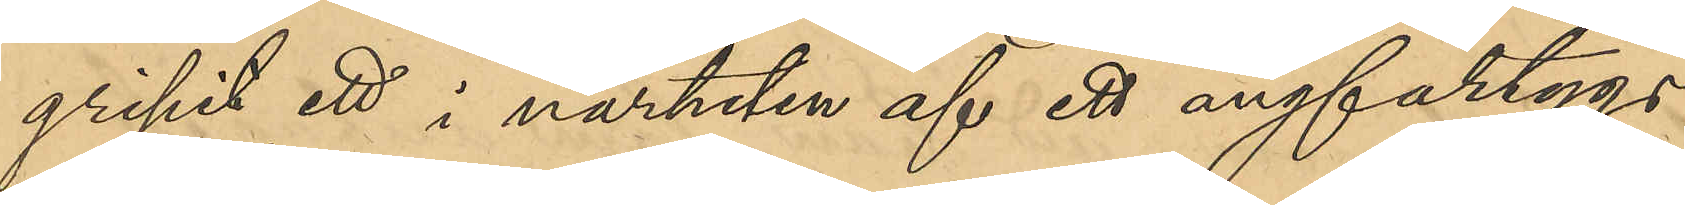gripit ett i närheten af ett ångfartygs
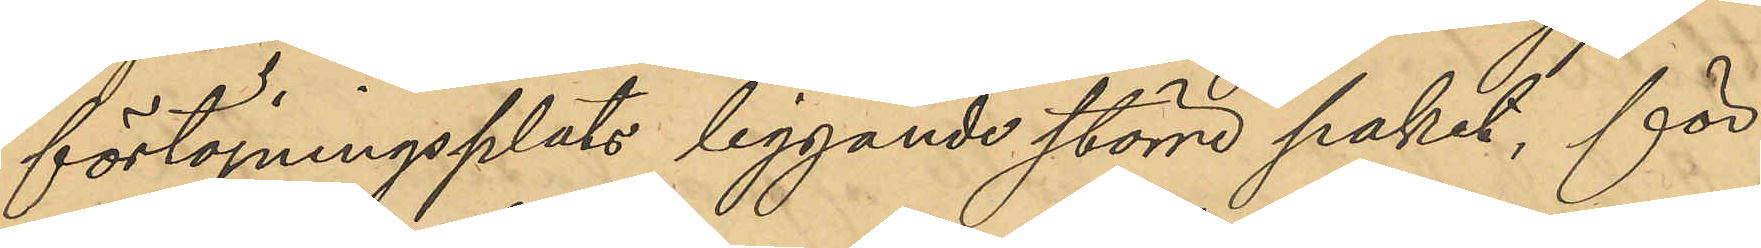förtöjningsplats liggande större paket, för¬
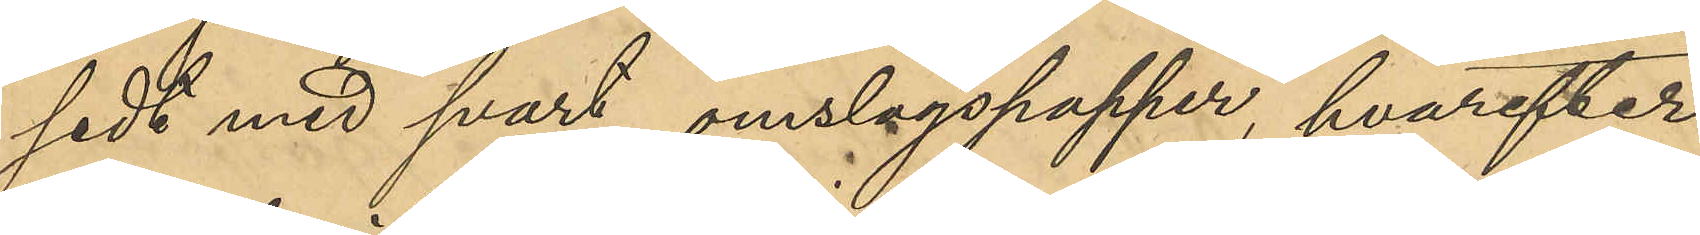sedt med svart omslagspapper, hvarefter
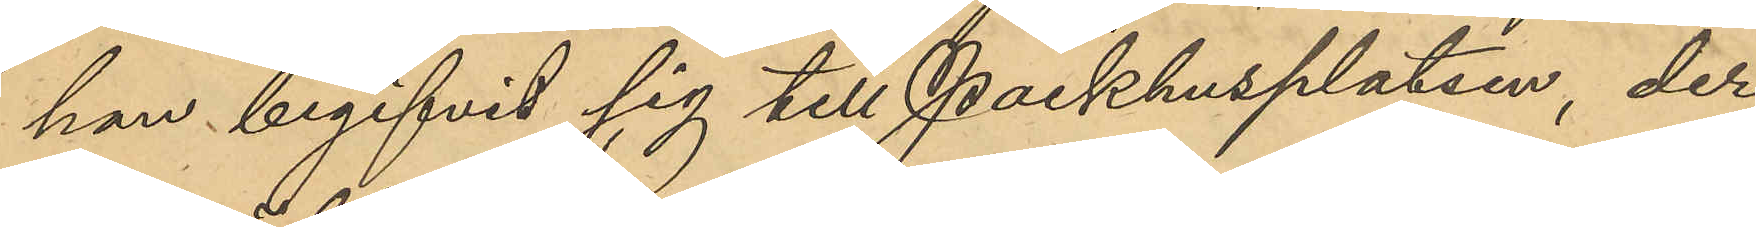han begifvit sig till Packhusplatsen, der
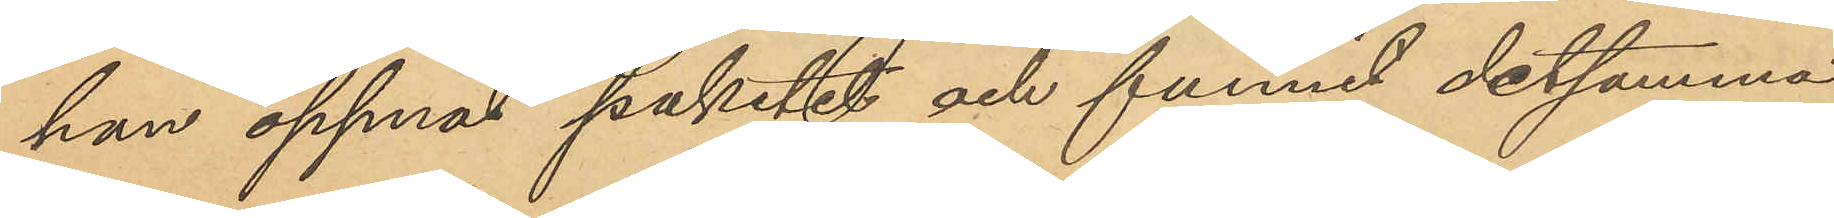han öppnat paketet och funnit detsamma
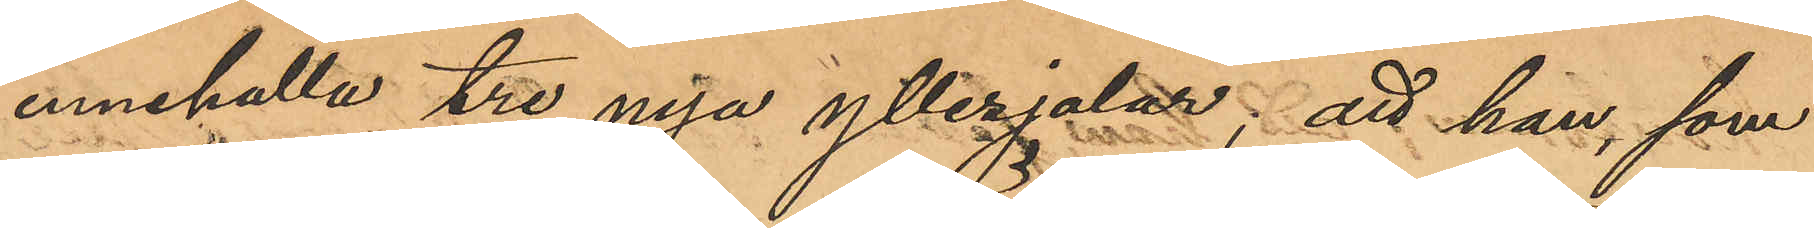innehålla tre nya yllesjalar; att han, som
